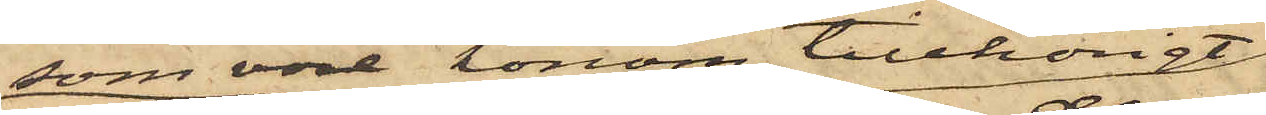som vore honom tillhörigt
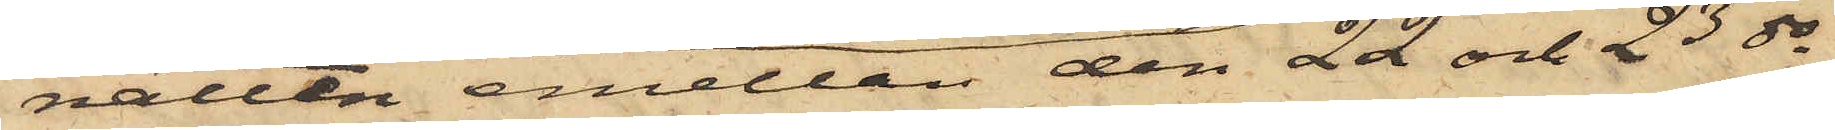natten emellan den 22 och 23 ds
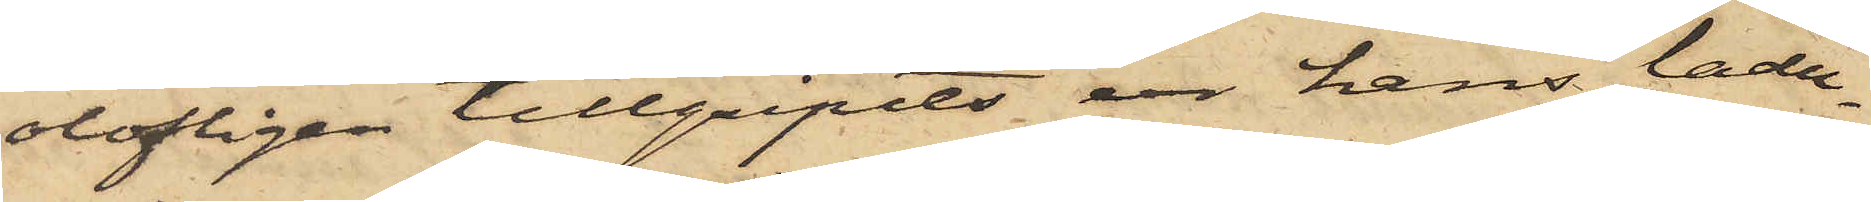olofligen tillgripits ur hans ladu¬
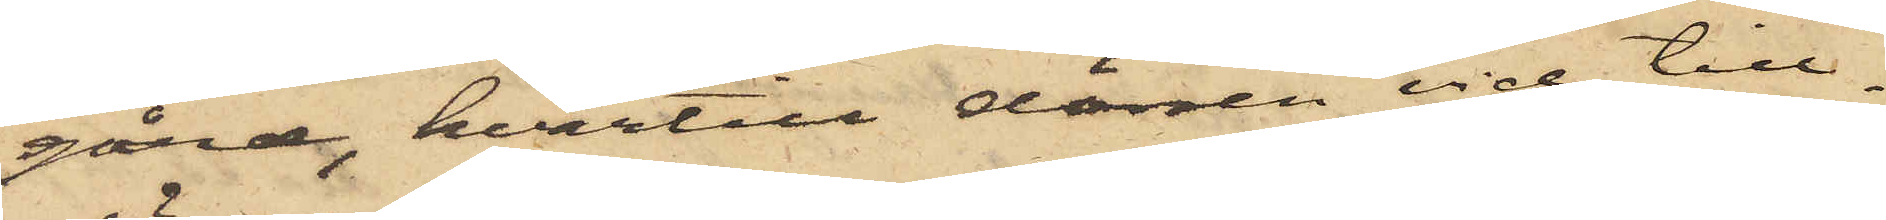gård, hvartill dörren vid till¬
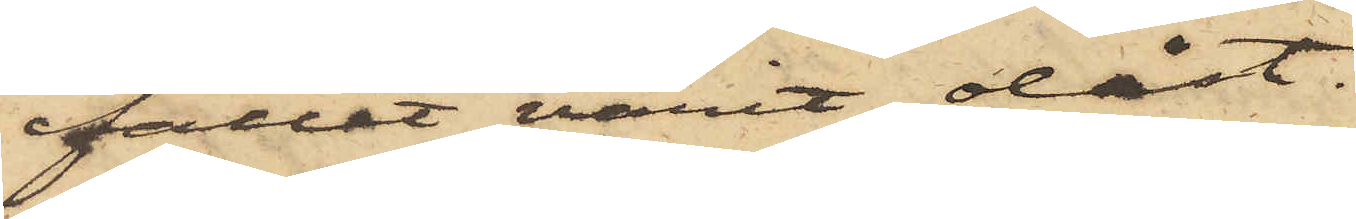fället varit olåst.
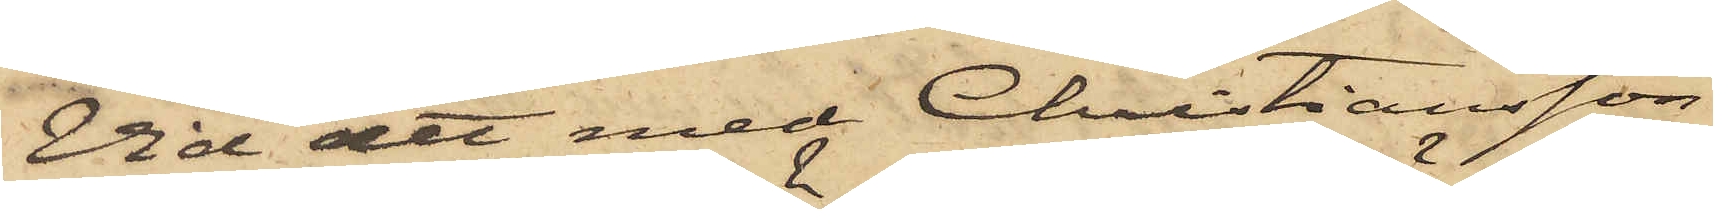Vid det med Christiansson
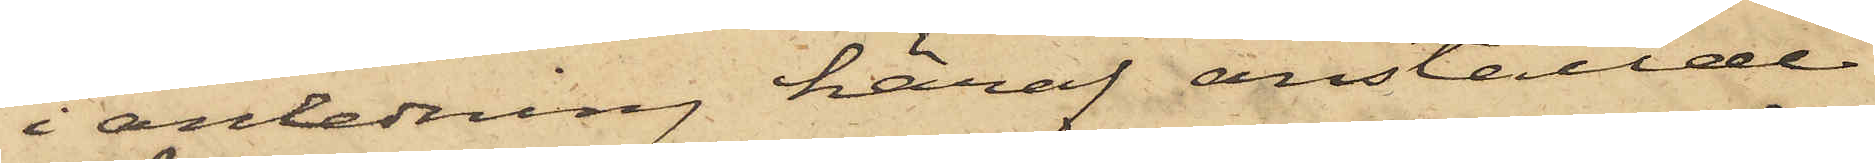i anledning häraf anställde
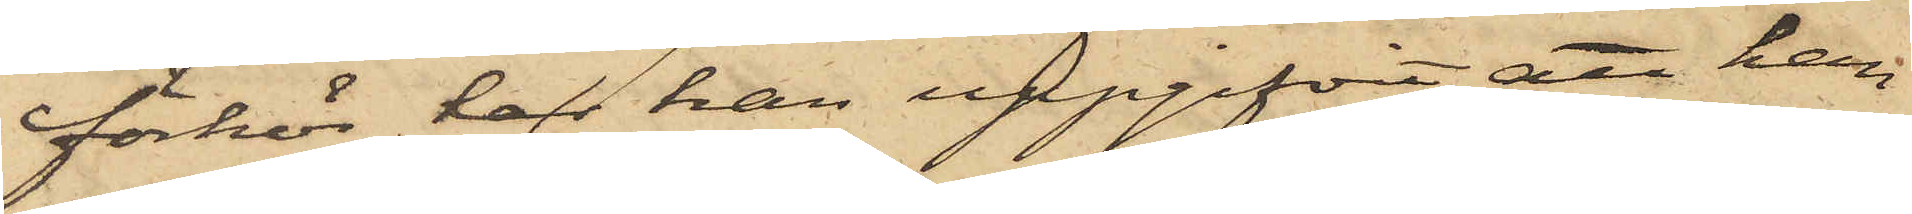förhör har han uppgifvit, att han
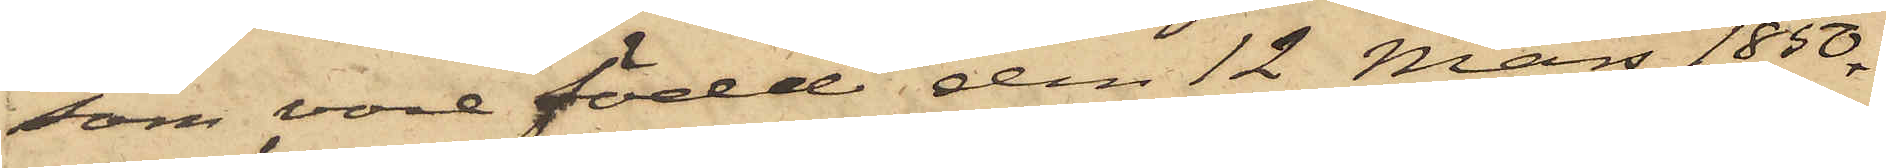som vore född den 12 Mars 1850
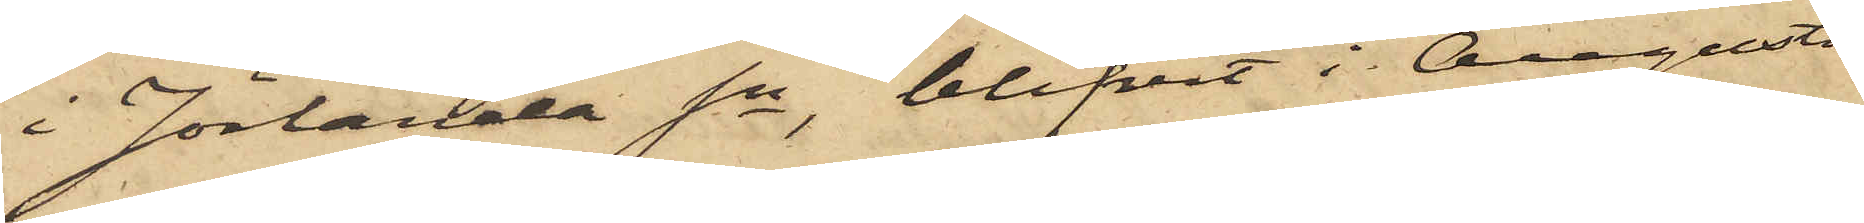i Jörlanda Sn, blifvit i Augusti
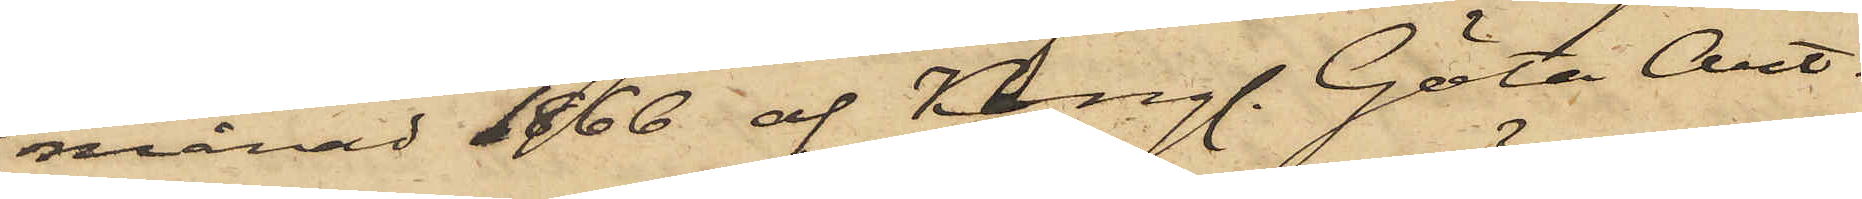månad 1866 af Kongl. Göta Art.
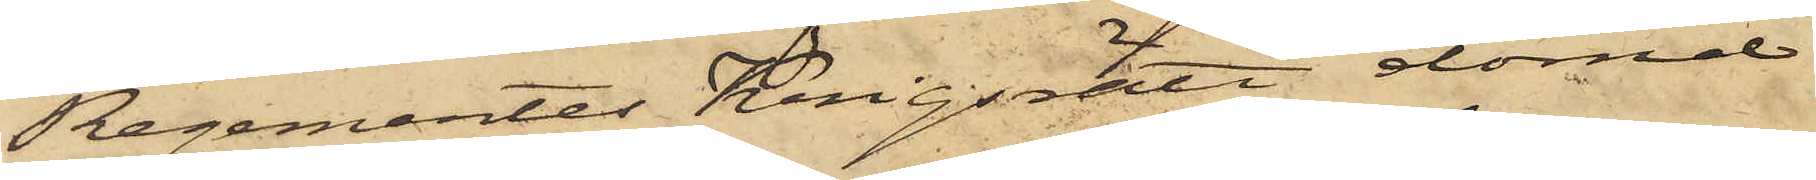Regementes Krigsrätt dömd
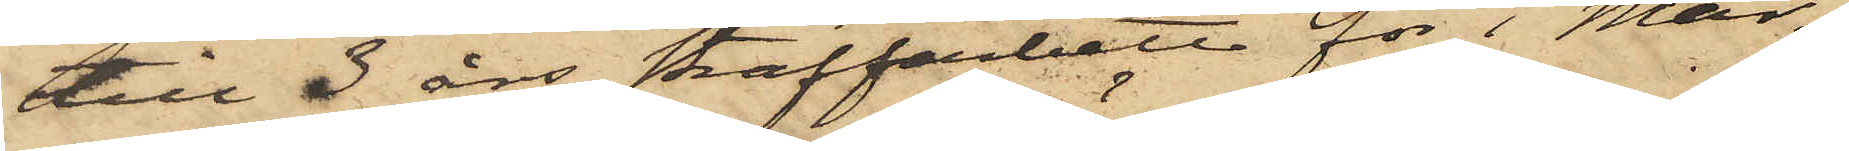till 3 års straffarbete för i Mar¬
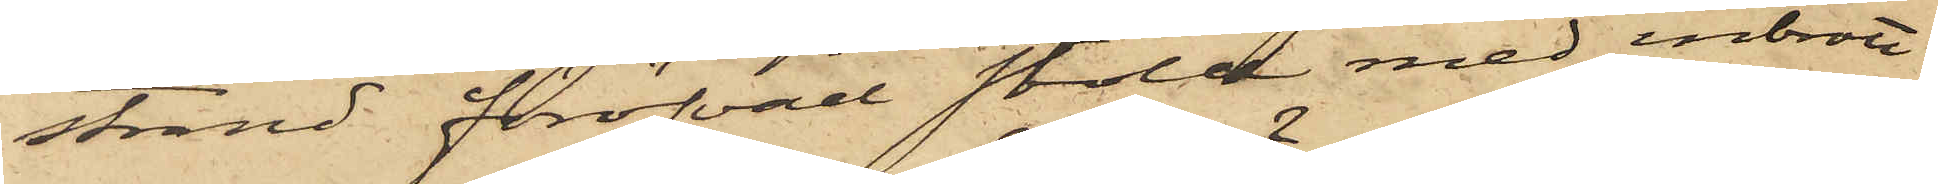strand föröfvad stöld med inbrott
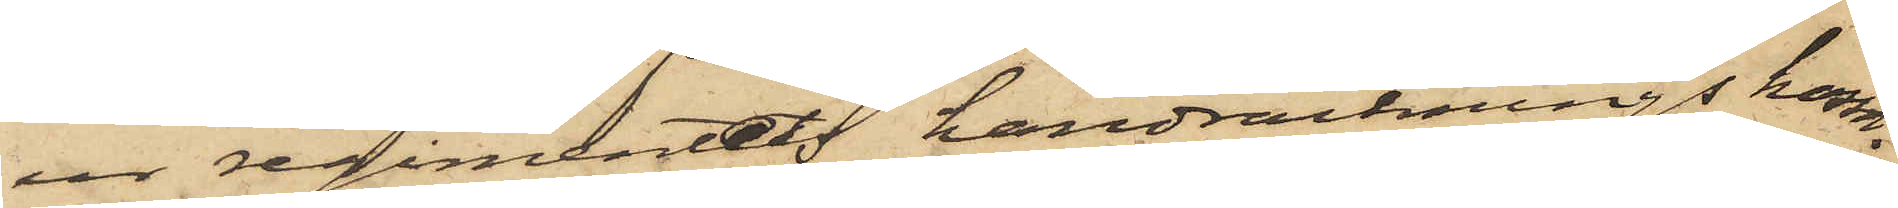ur regimentets handräcknings kassa,
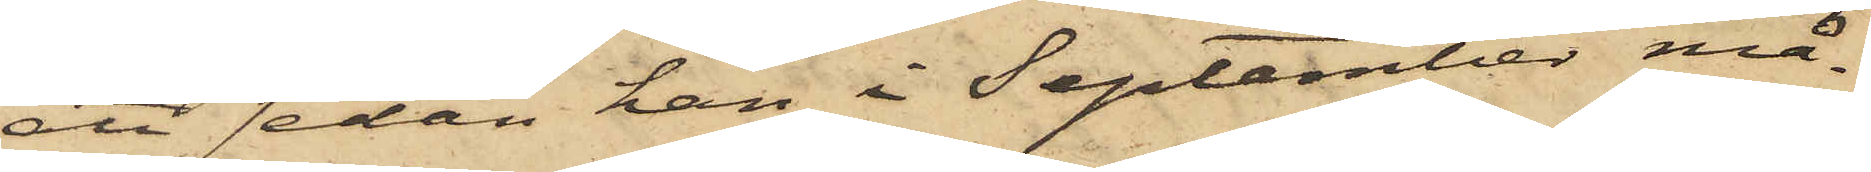att sedan han i September må¬
